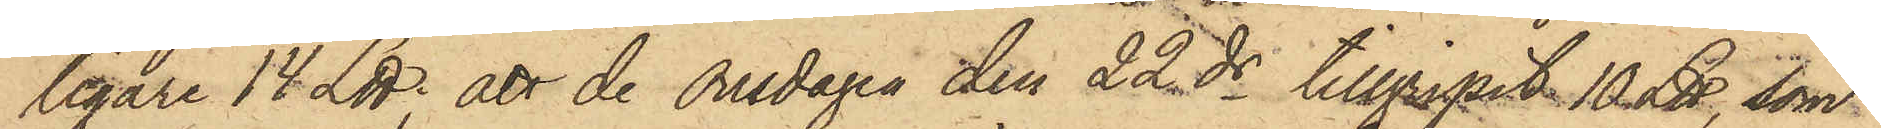ligare 14 L℔; att de Onsdagen den 22 ds tillgripit 10 ℔, som
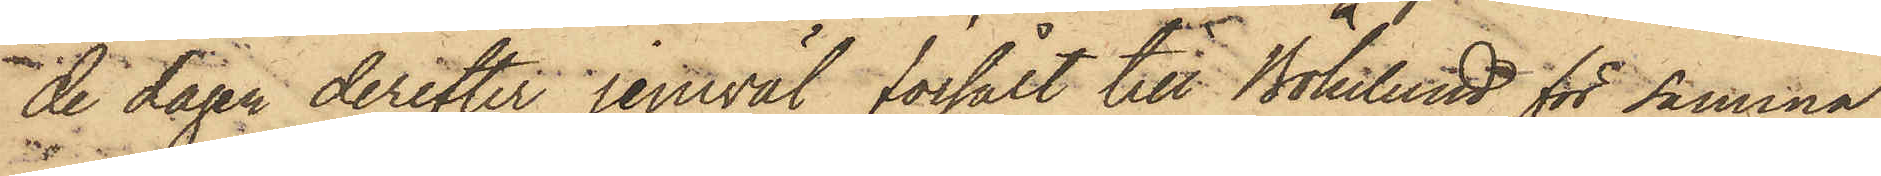de dagen derefter jemväl försålt till Bökelund för samma
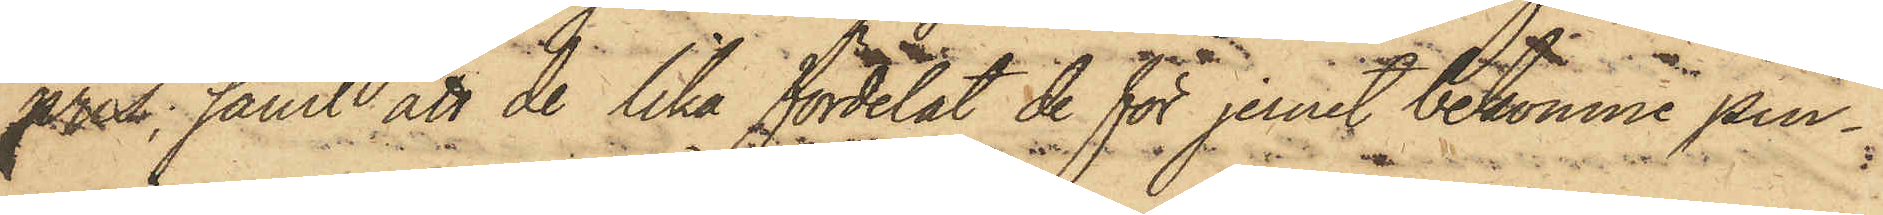pris; samt att de lika fördelat de för jernet bekomne pen¬
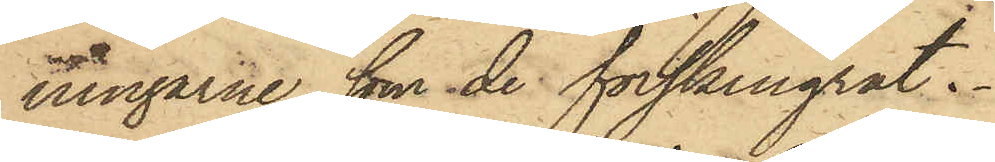ningarne, som de förskingrat.
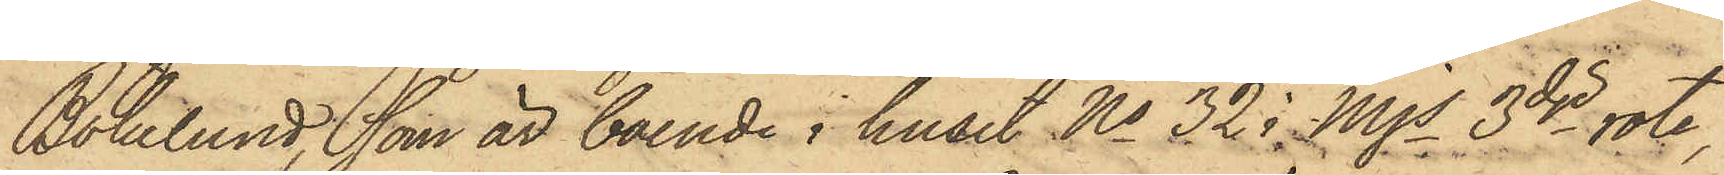Bökelund, som är boende i huset No 32 i Mjs 3dje rote,
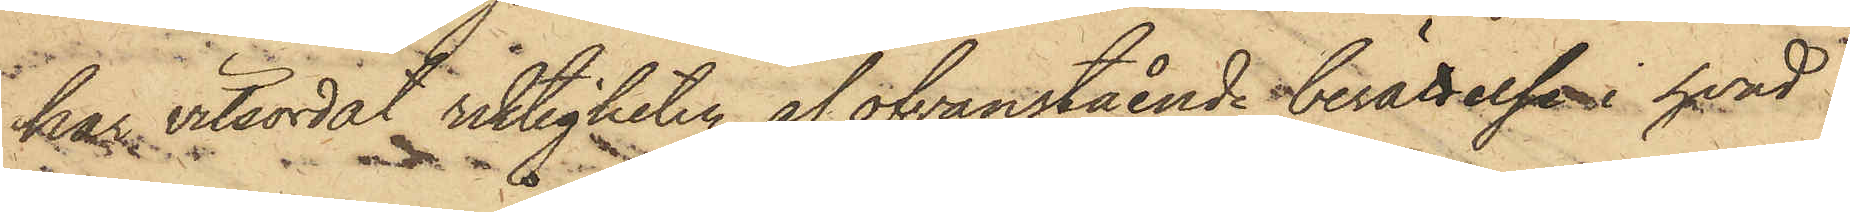har vitsordat riktigheten af ofvanstående berättelse i hvad
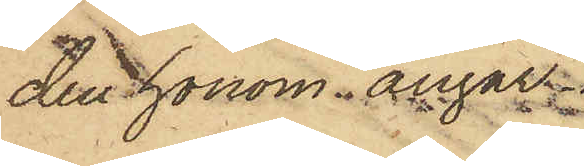den honom angår.
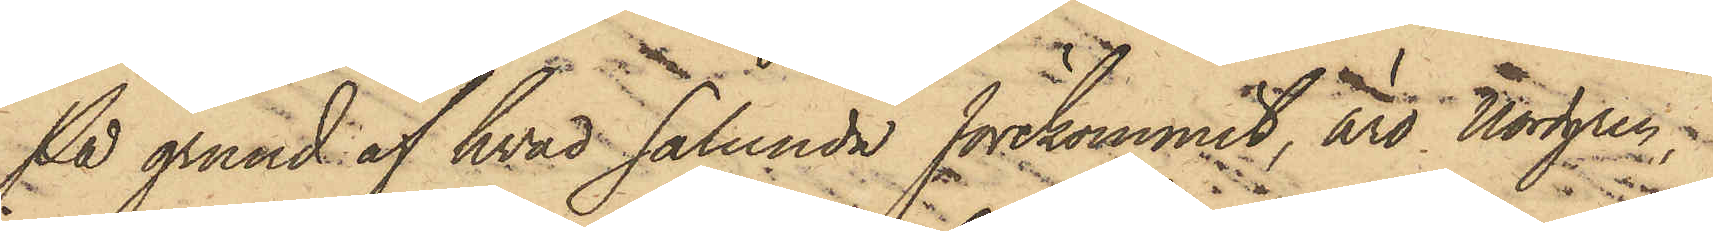På grund af hvad sålunda förekommit, äro Nordgren.
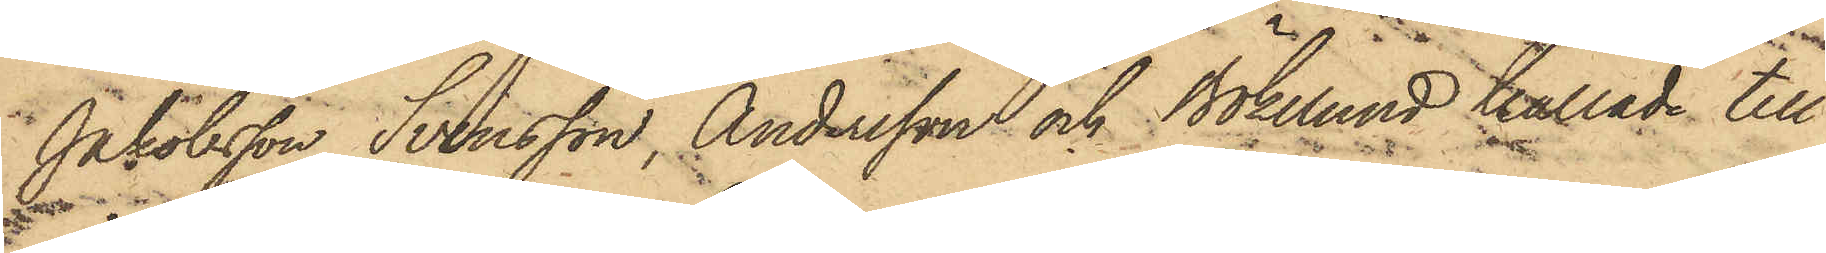Jakobsson, Svensson, Andersson och Bökelund kallade till
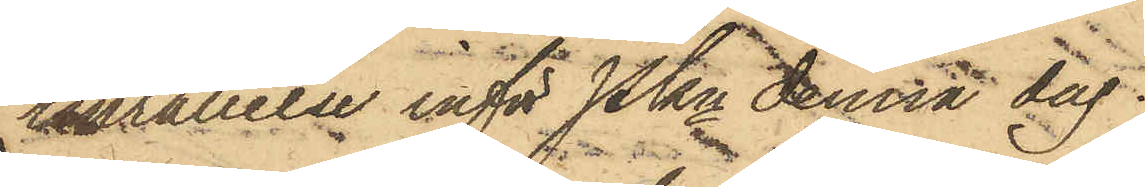inställelse inför Pkn denna dag.
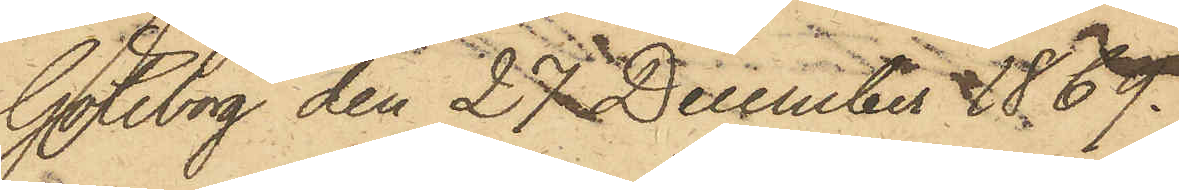Göteborg den 27 December 1869.
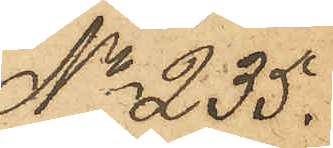No 235.
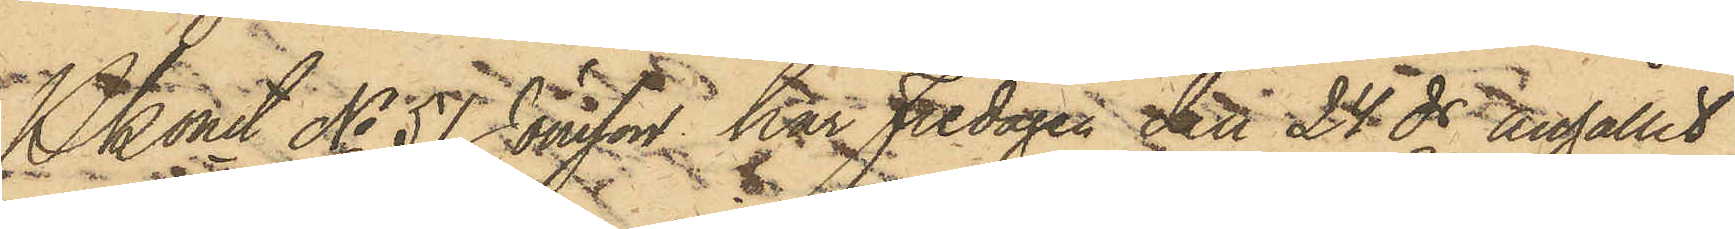Pkonst No 51 Jönsson har Fredagen ett 24ds anhållit
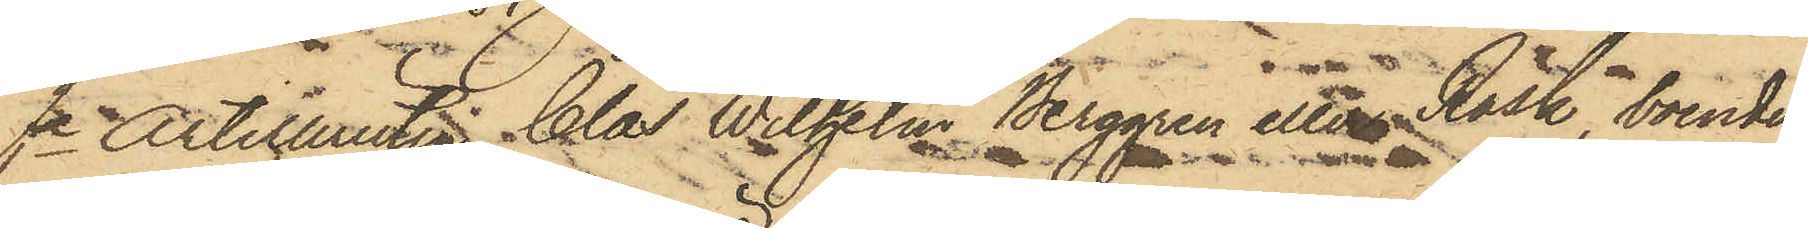fe Artilleristen Clas Wilhelm Berggren eller Rask, boende
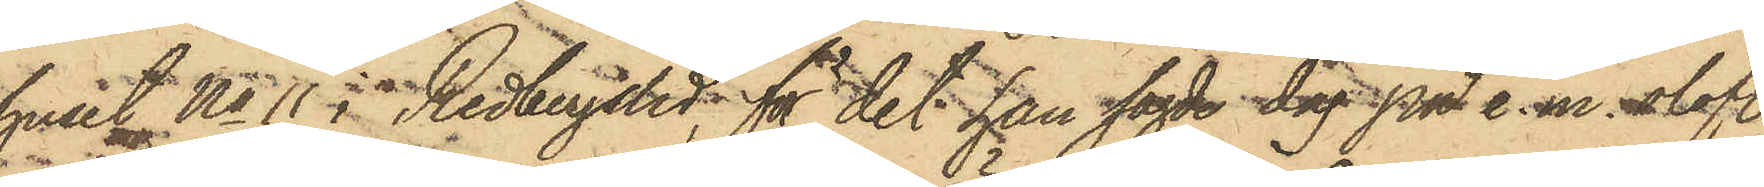i huset No 11 i Redbergslid, för det han sagde dag på e.m. olofl.
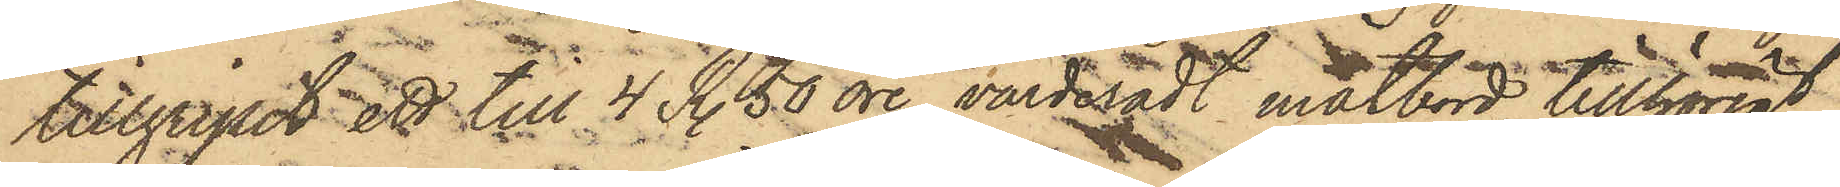tillgripit ett till 4 R. 50 öre värderadt matbord tillhörigt
